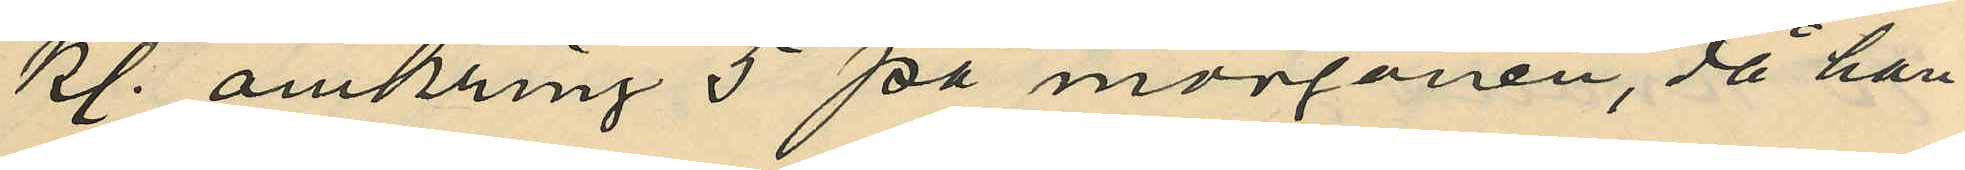kl. omkring 5 på morgonen, då han
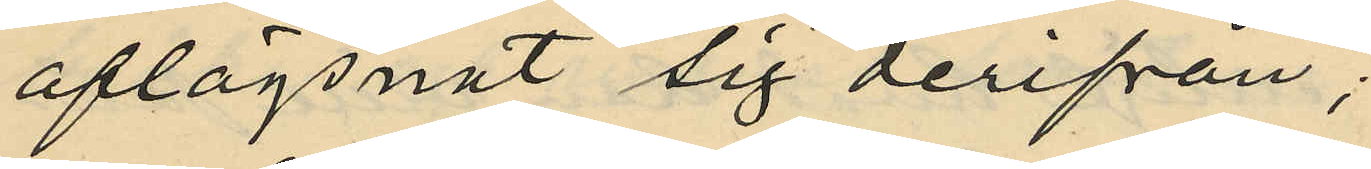aflägsnat sig derifrån;
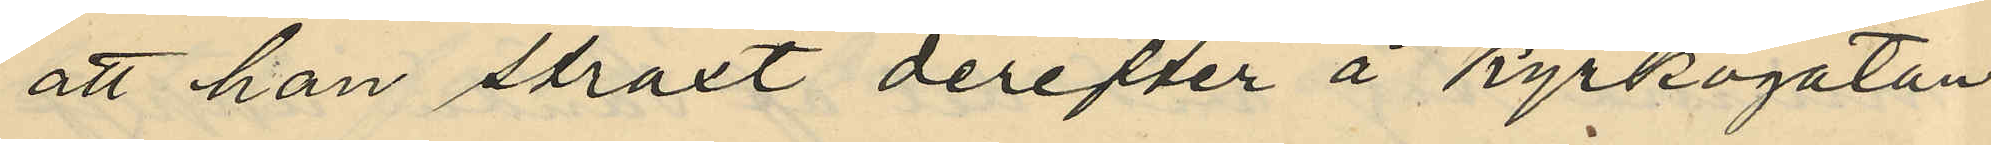att han straxt derefter å Kyrkogatan
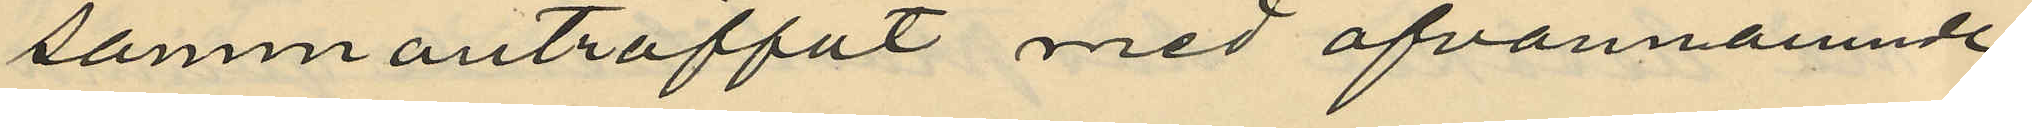sammanträffat med ofvannämnde
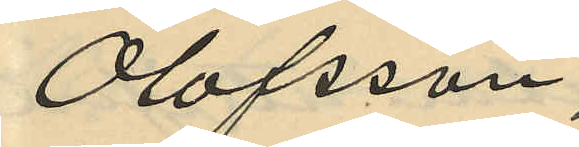Olofsson;
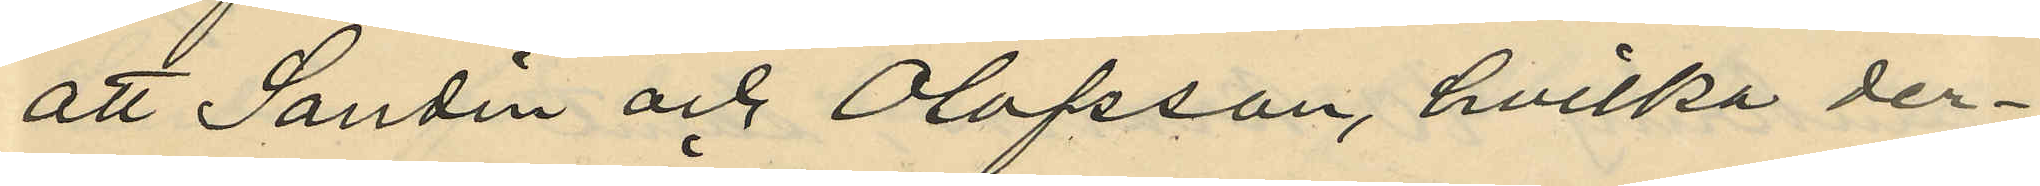att Sandin och Olofsson, hvilka der¬
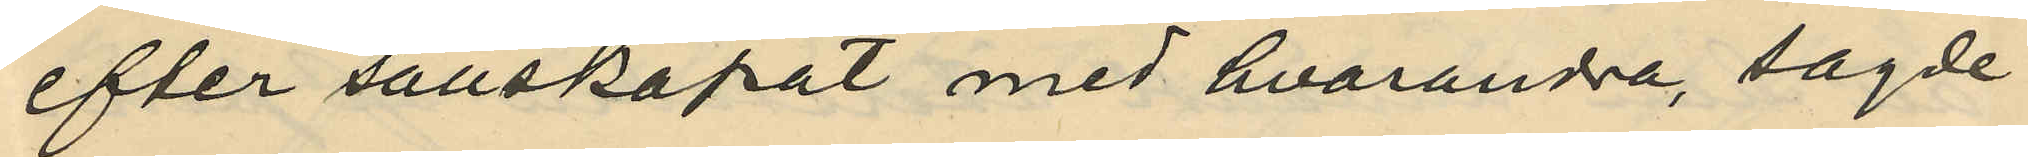efter sällskapat med hvarandra, sagde
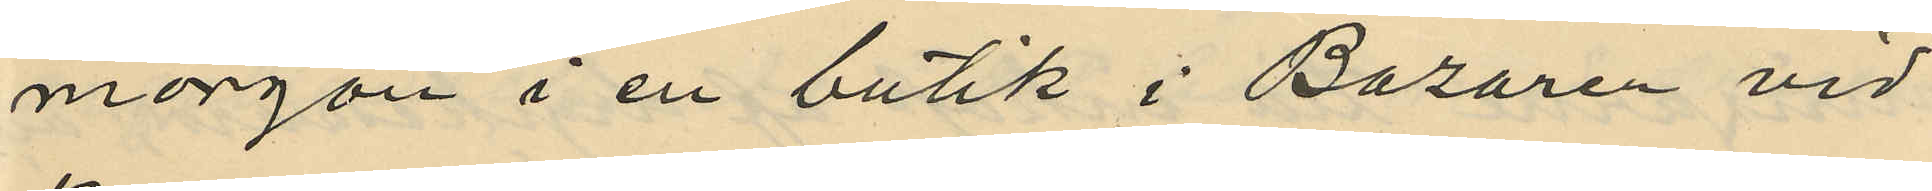morgon i en butik i Bazaren vid
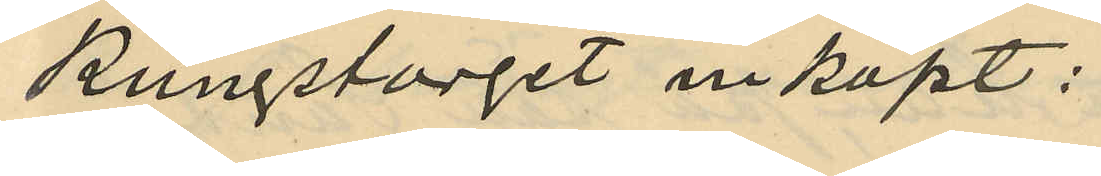Kungstorget inköpt:
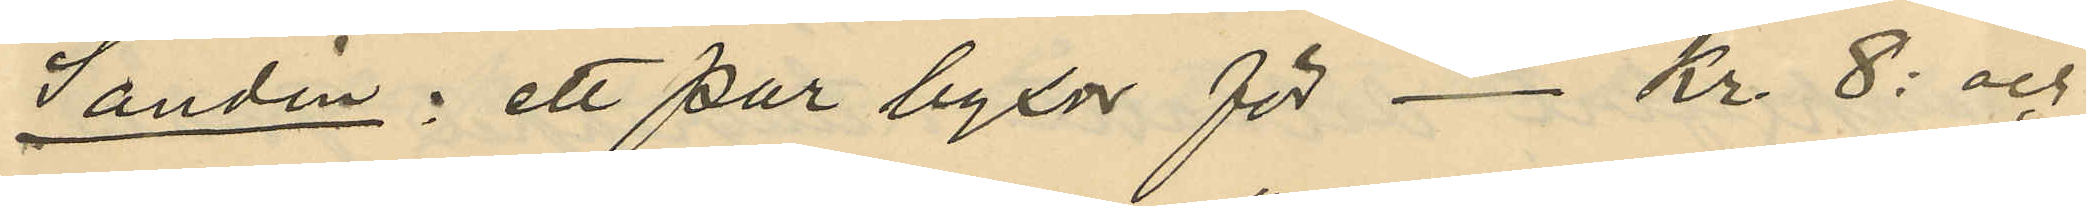Sandin: ett par byxor för - Kr. 8: och
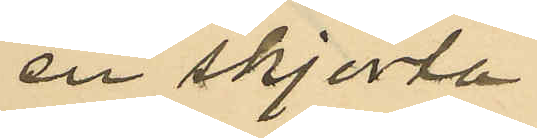en skjorta
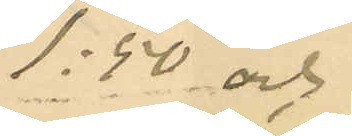1:50 och
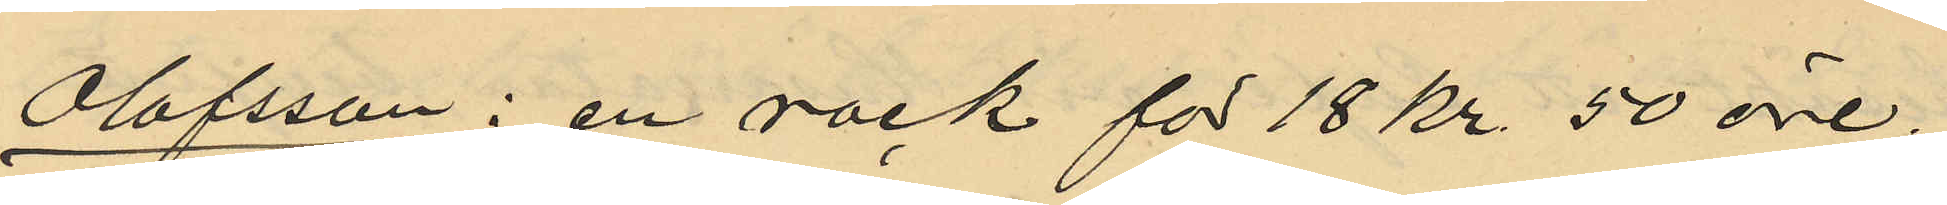Olofsson: en rock för 18 kr. 50 öre;
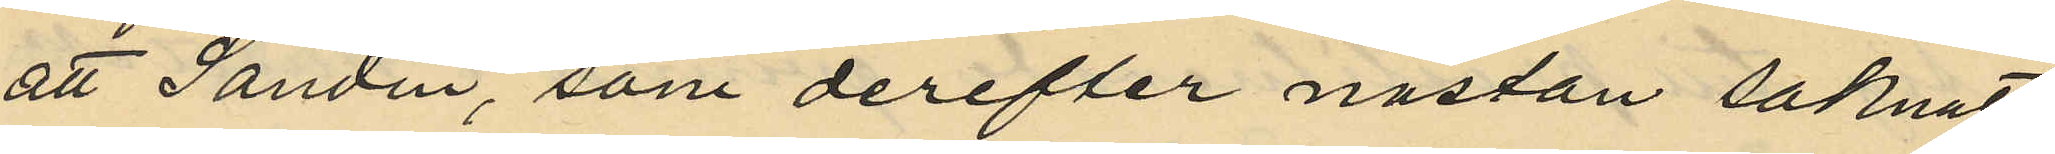att Sandin, som derefter nästan saknat
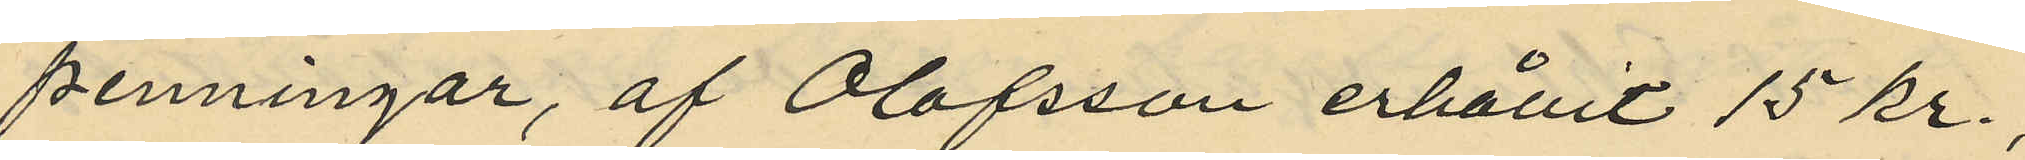penningar, af Olofsson erhållit 15 kr.,
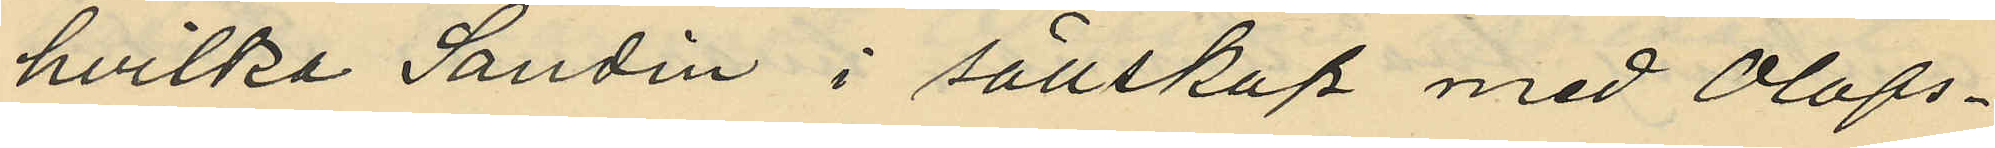hvilka Sandin i sällskap med Olofs¬
